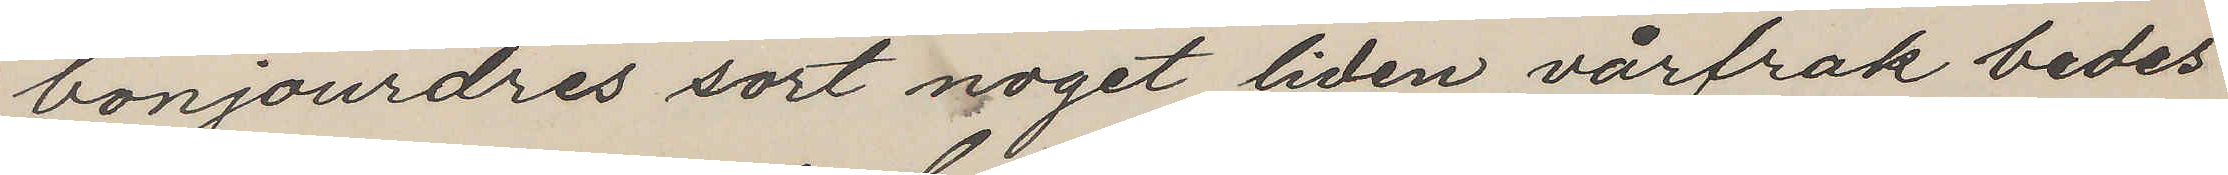bonjourdres sort noget liden vårfrak bedes
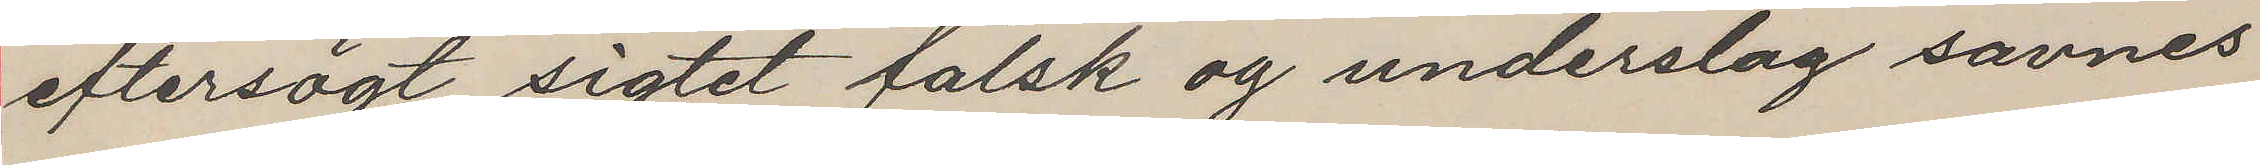eftersögt sigtet falsk og underslag savnes
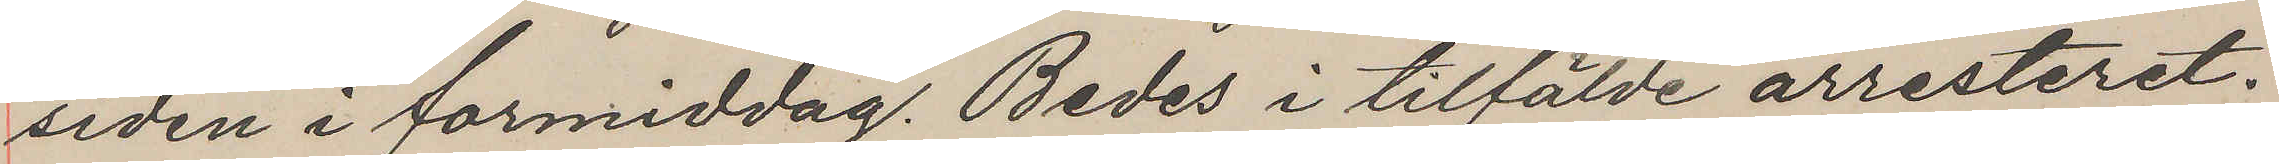siden i formiddag. Bedes i tilfälde arresteret.
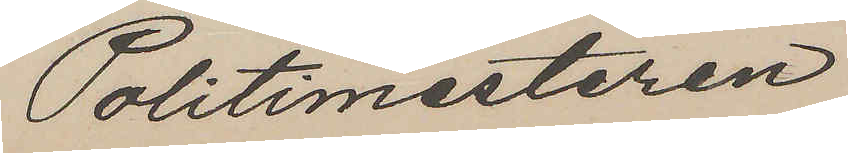Politimesteren
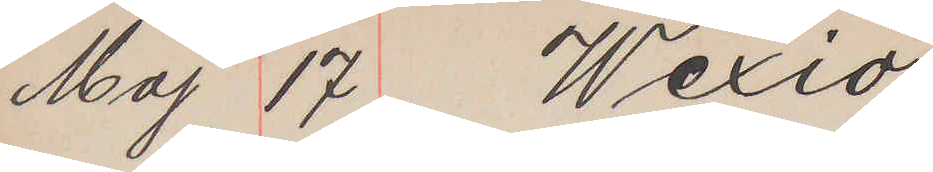Maj 17 Wexiö
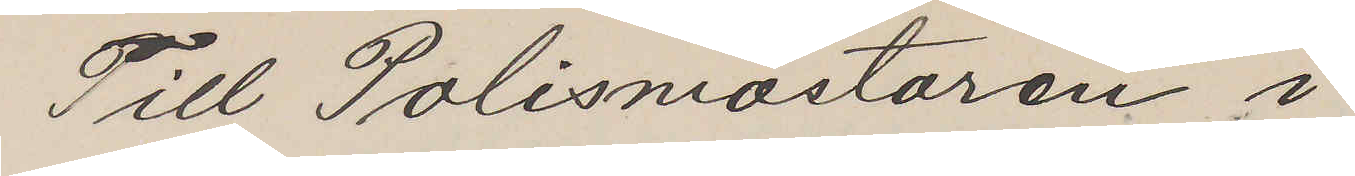Till Polismästaren i
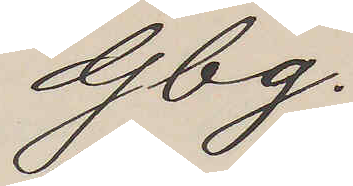Gbg.
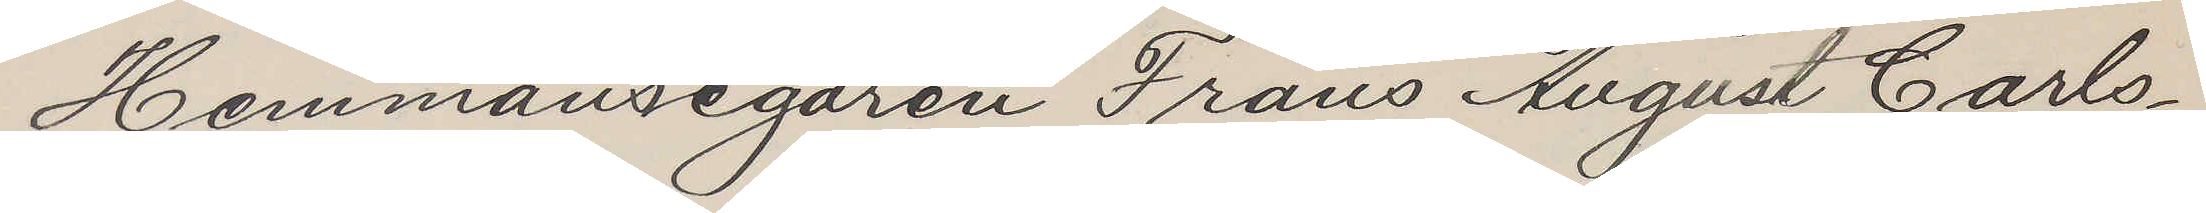Hemmansegaren Frans August Carls¬
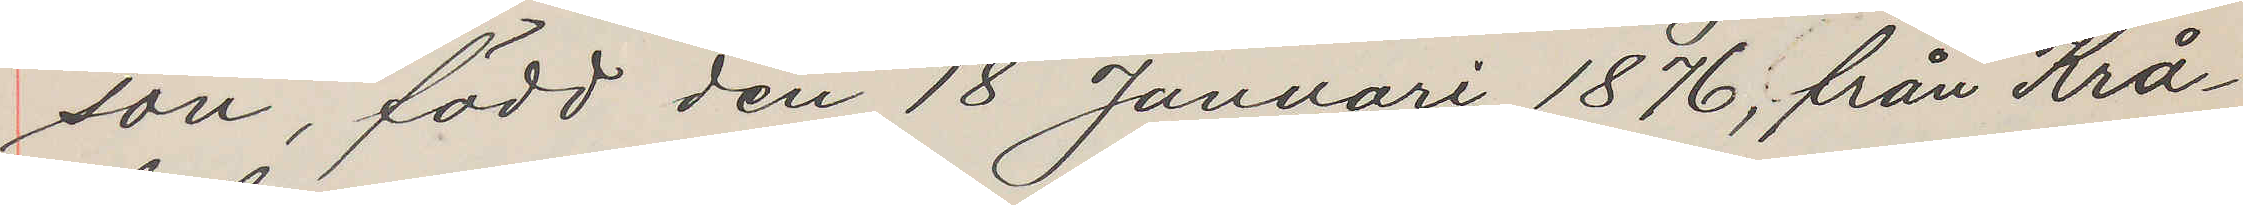son, född den 18 Januari 1876; från Krå¬
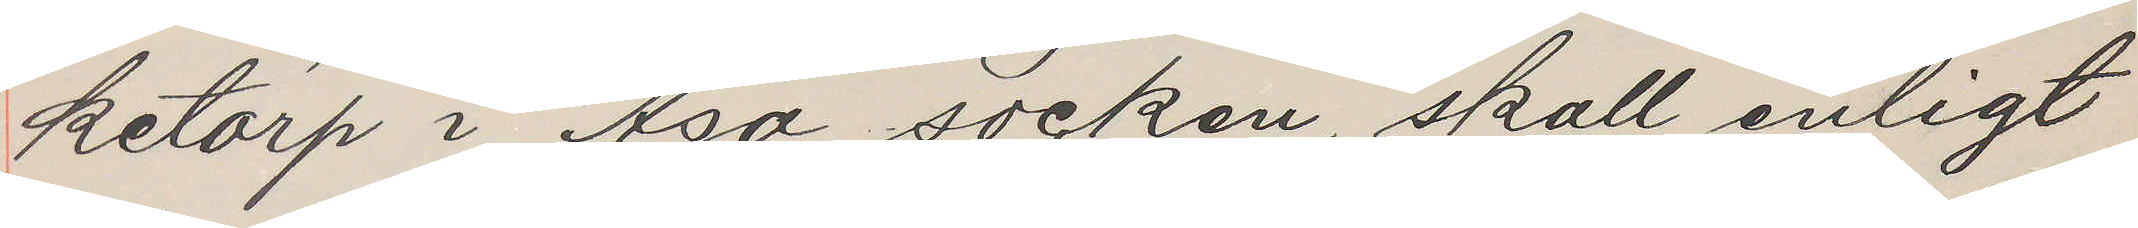ketorp i Asa socken, skall enligt
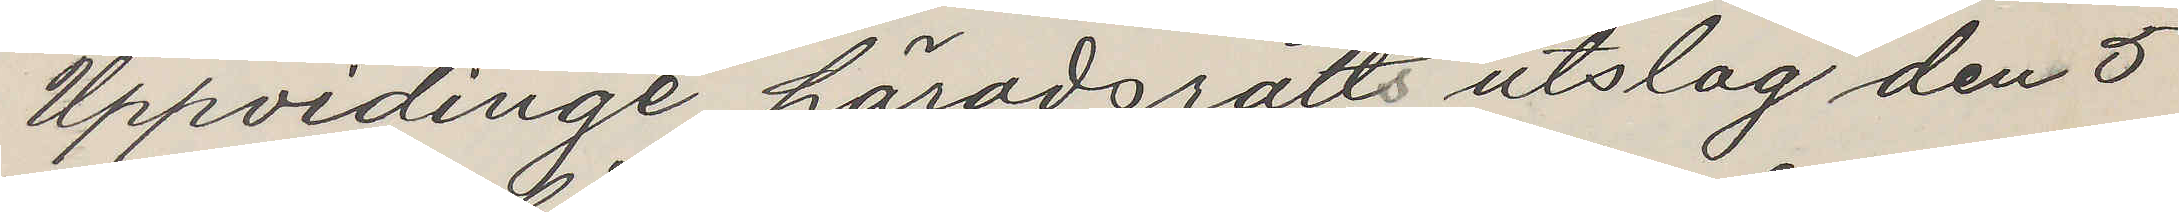Uppvidinge häradsrätts utslag den 5
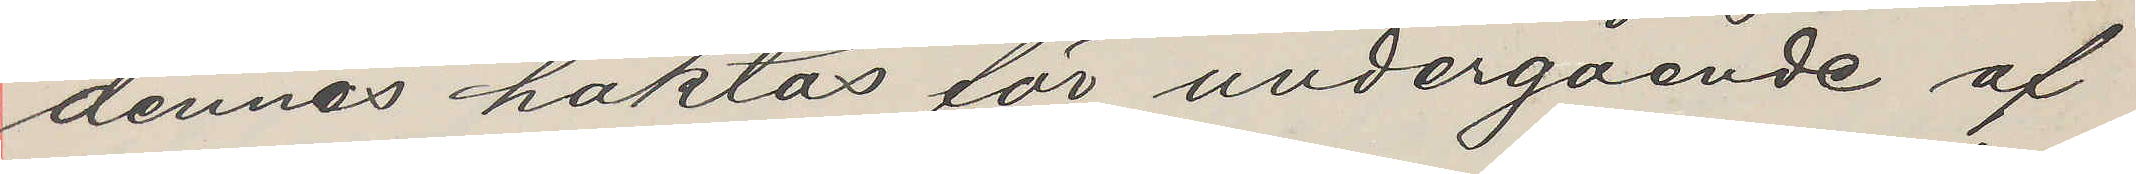dennas häktas för undergående af
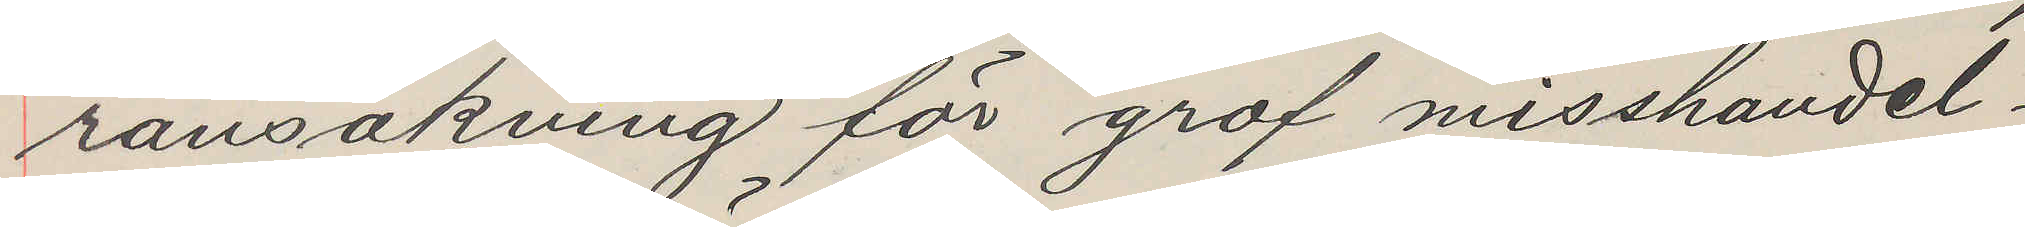ransakning för grof misshandel.
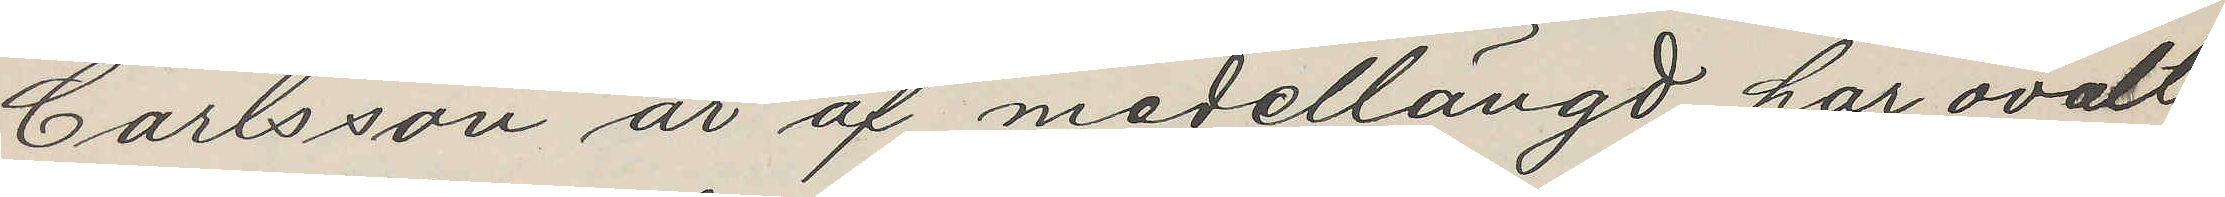Carlsson är af medellängd, har ovalt
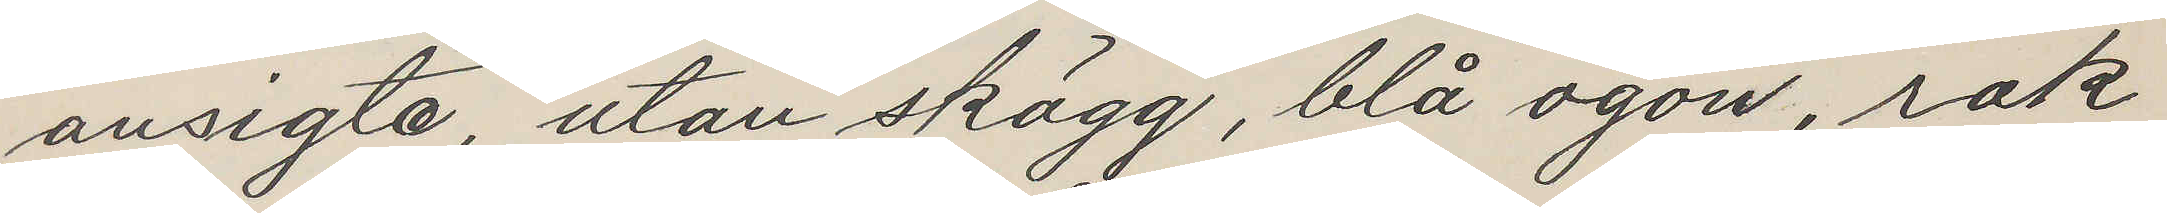ansigte, utan skägg, blå ögon, rak
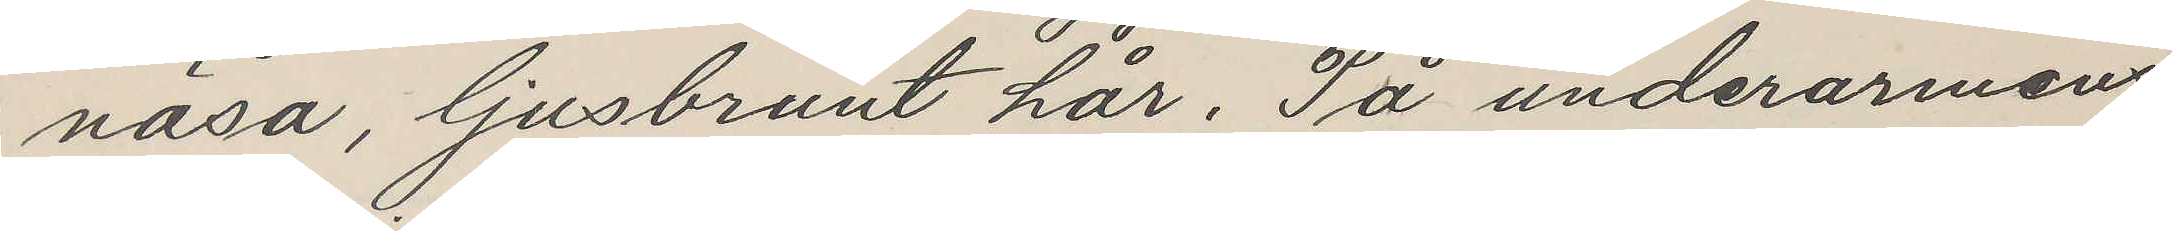näsa, ljusbrunt hår. På underarmens
